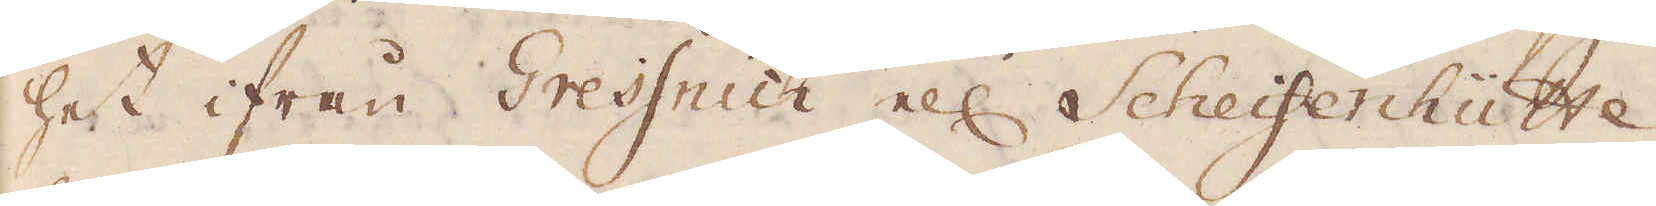het ifrån Gressnich ell: Scheifenhütte,
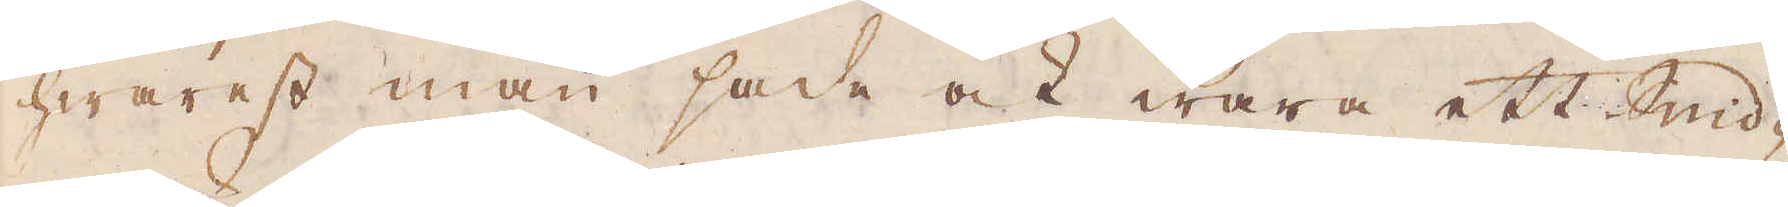hwarest man sade ock wara ett Smid-
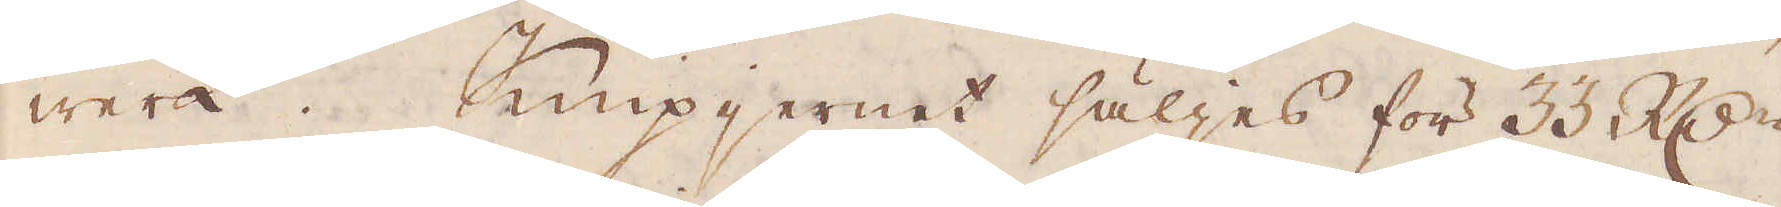werk. Knipjernet säljes för 33 R:dr
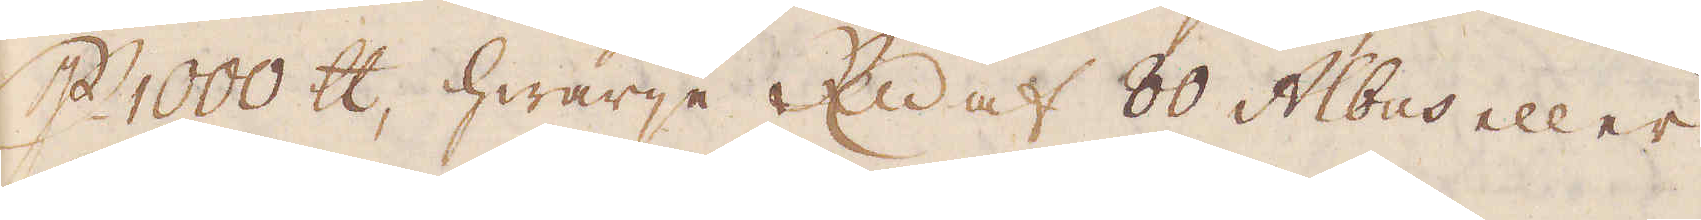p 1000 skålpund, hwarje R:dr 80 Albus eller
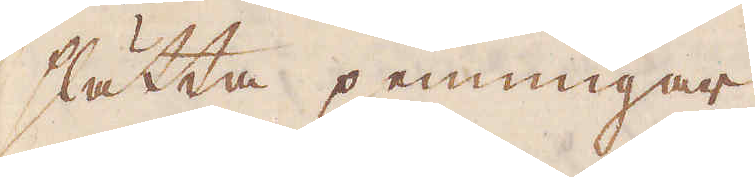slätta penningar.
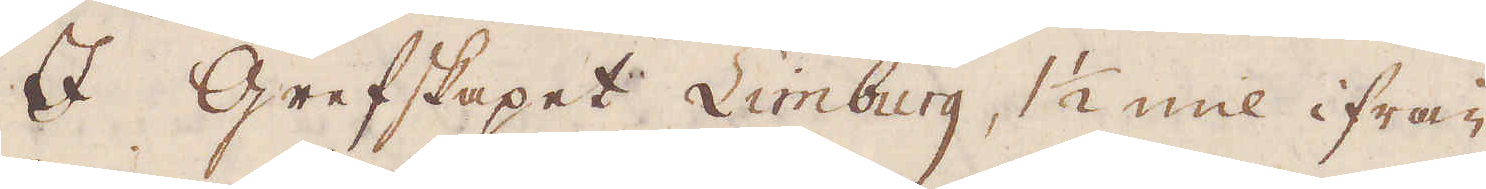I grefskapet Limburg, 1 1/2 mil ifrån
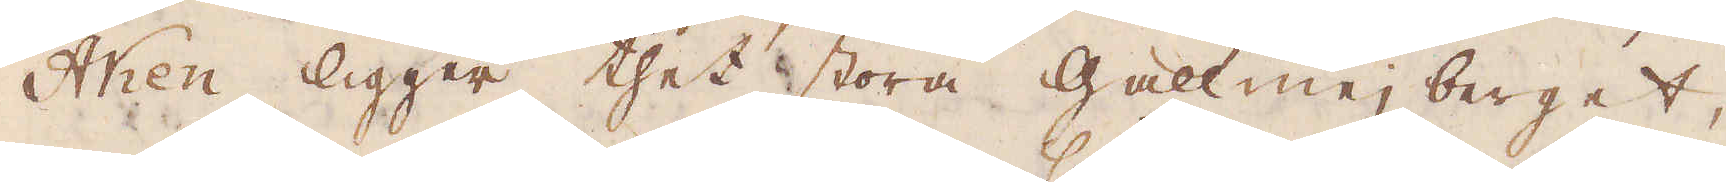Aken ligger thet stora gallmejberget,
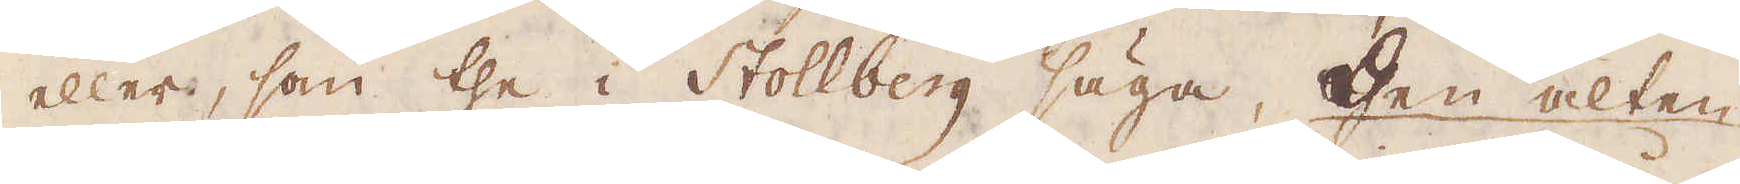eller, som the i Stollberg säga, then alten
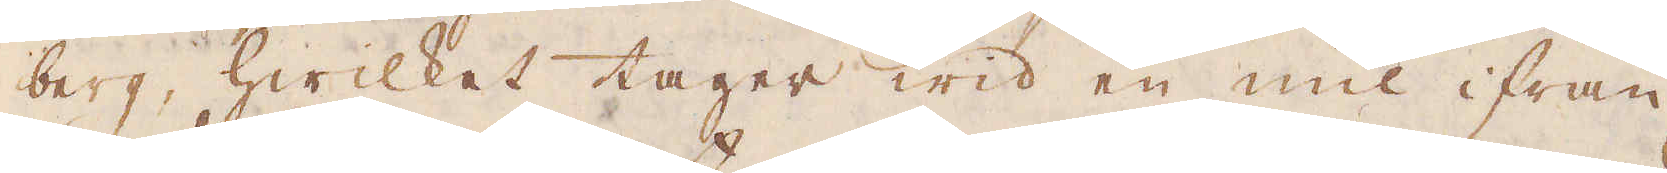berg, hwilket tager wid en mil ifrån
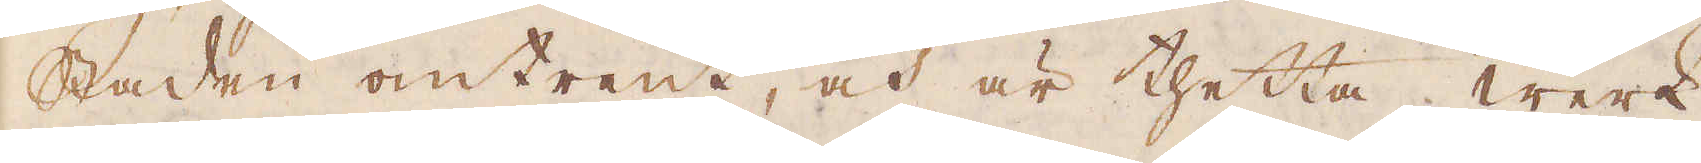staden omtrent, och är thetta werk
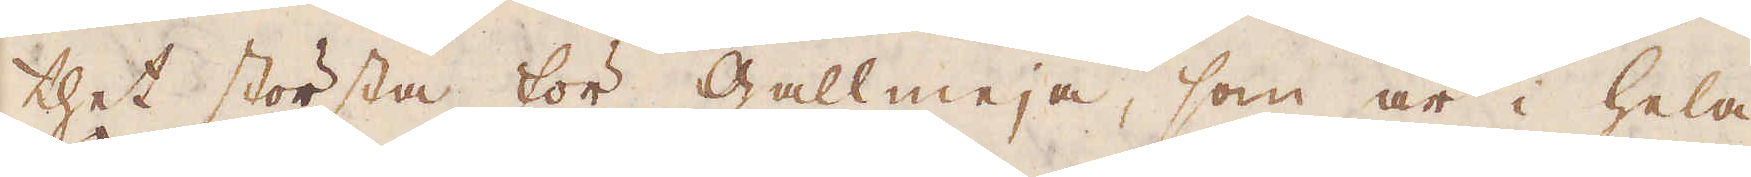thet största för gallmeja, som är i hela
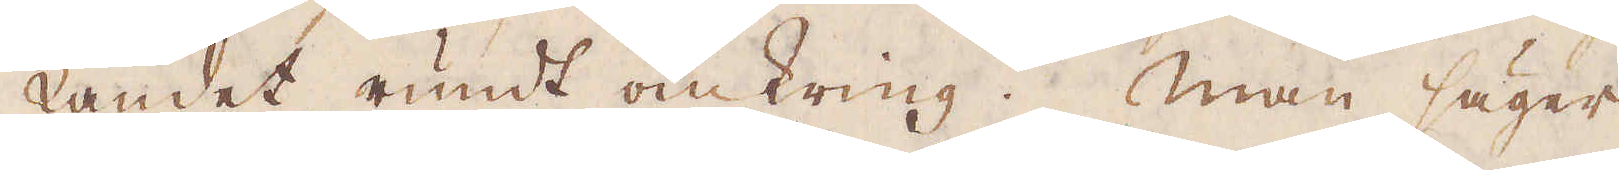Landet rundt omkring. Man säger,
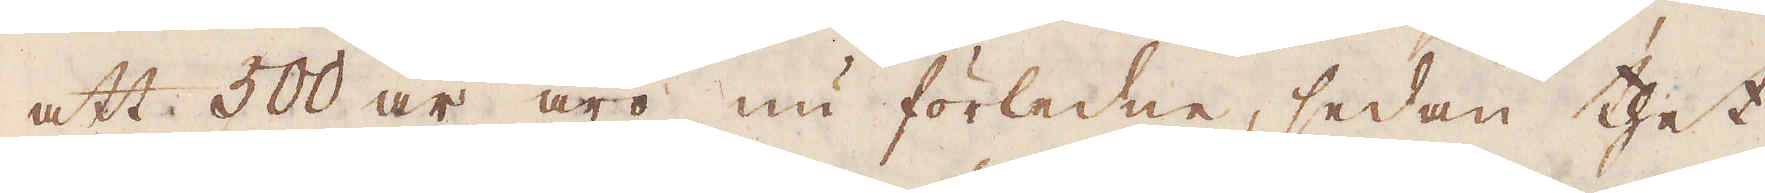att 500 år äro nu förledne, sedan thet
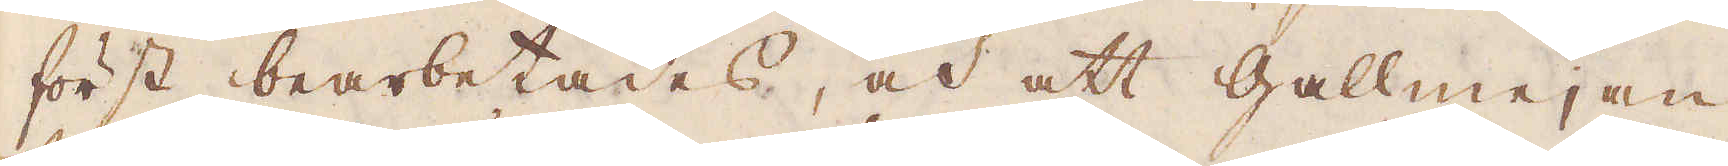först bearbetades, och att gallmejan
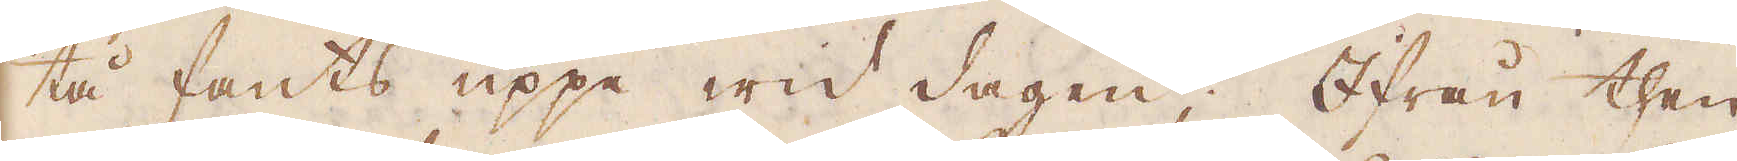tå fants uppe wid dagen; Ifrån then
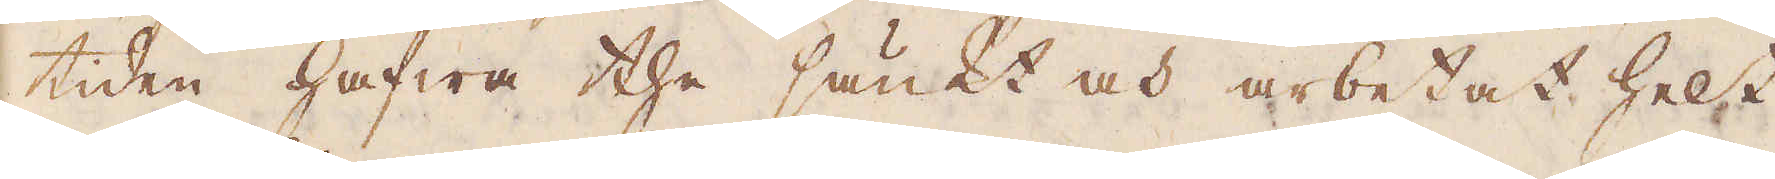tiden hafwa the sänkt och arbetat helt
